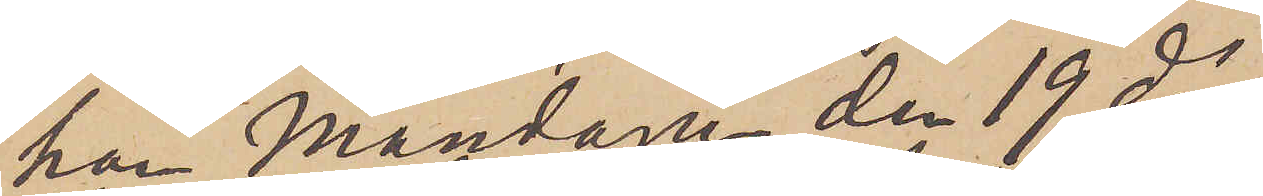han Måndagen den 19 ds
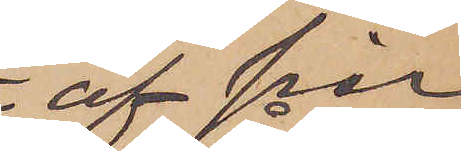af sin
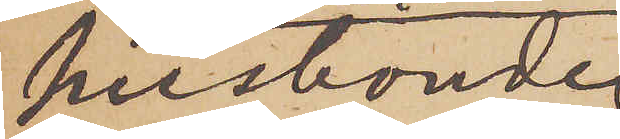husbonde
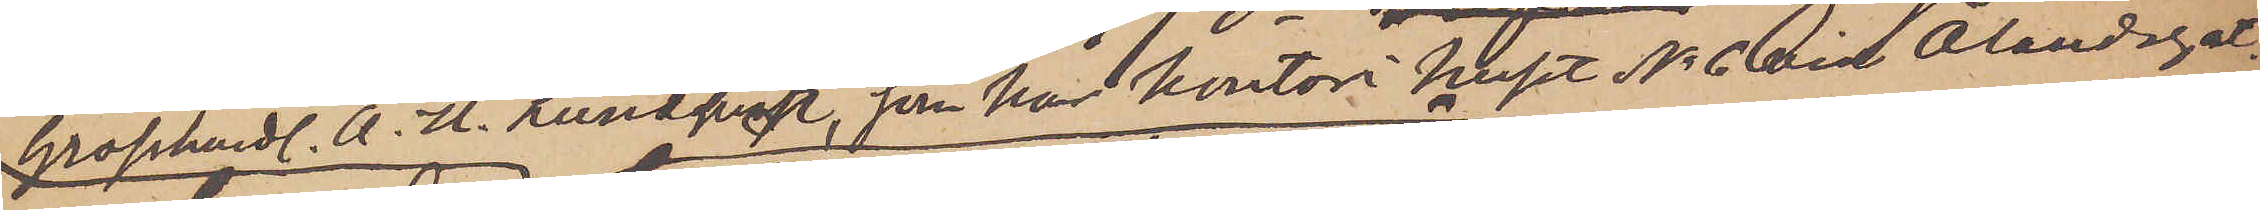Grosshandl. A. U. Lundqvist. som har kontor i huset No 6 vid Ålandsgat.
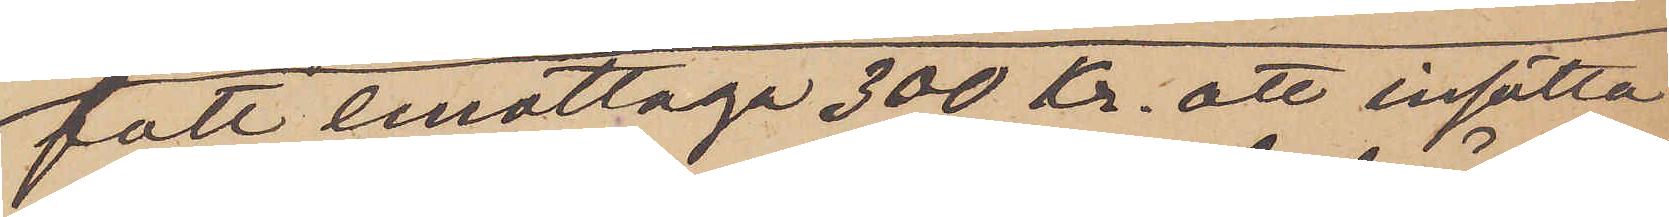fått emottaga 300 Kr. att insätta
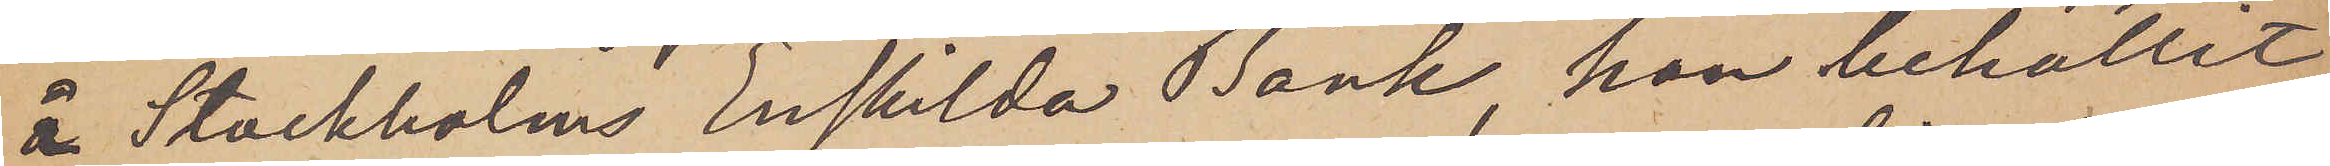å Stockholms Enskilda Bank, han behållit
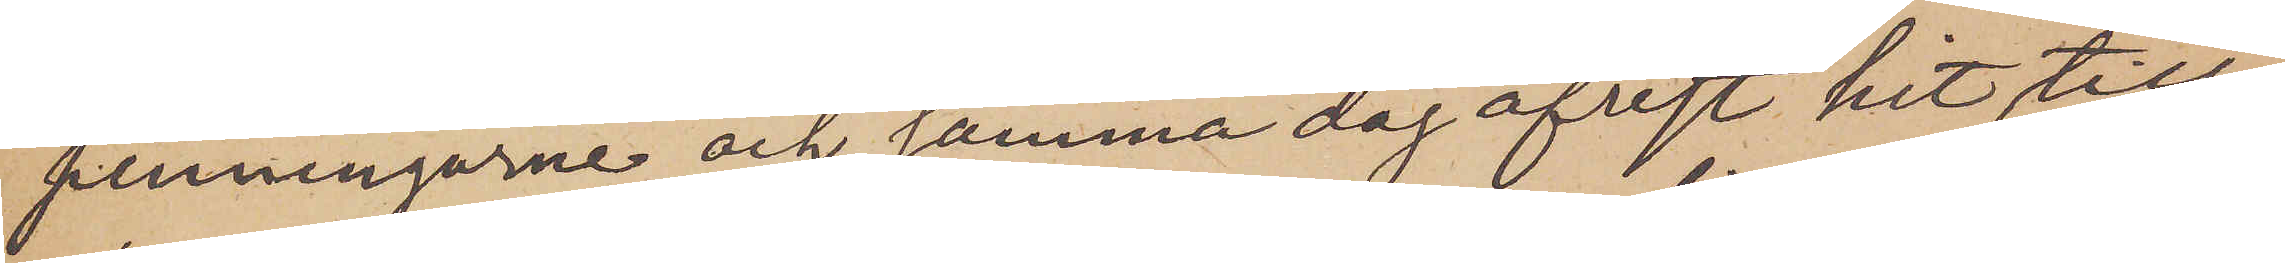penningarne och samma dag afrest hit till
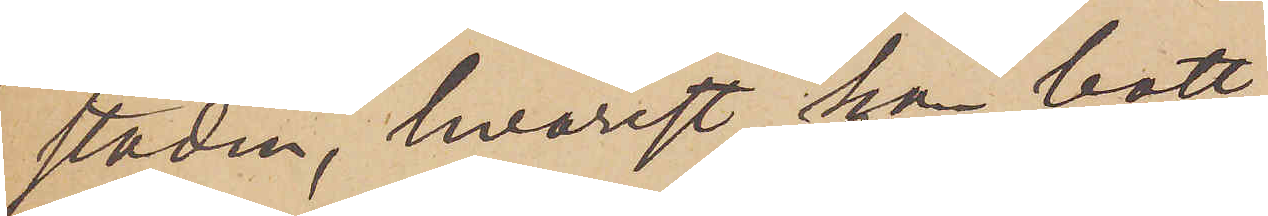staden, hvarest han bott
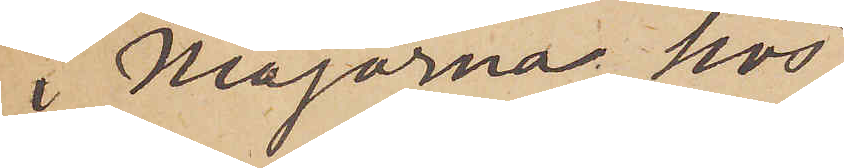i Majorna hos
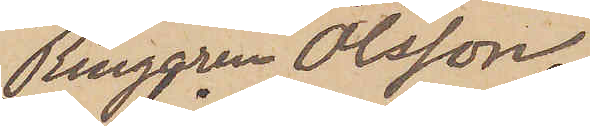Ringaren Olsson;
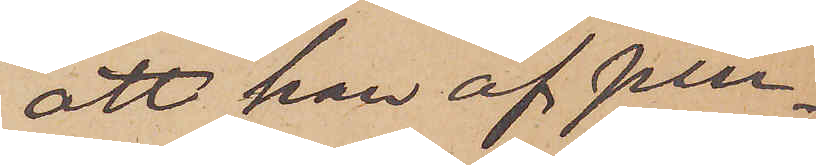att han af pen¬
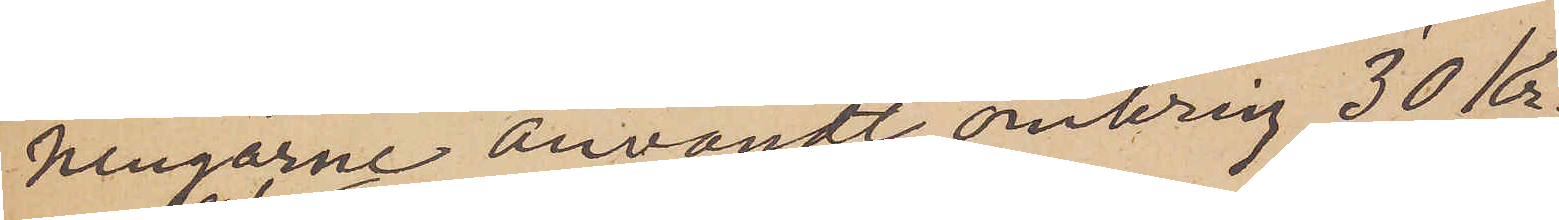ningarne användt omkring 30 Kr.,
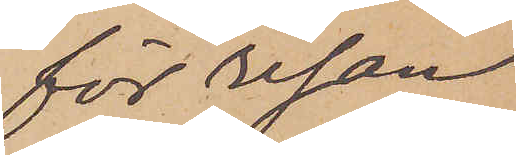för resan
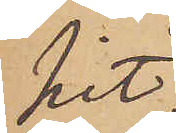hit,
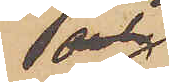och
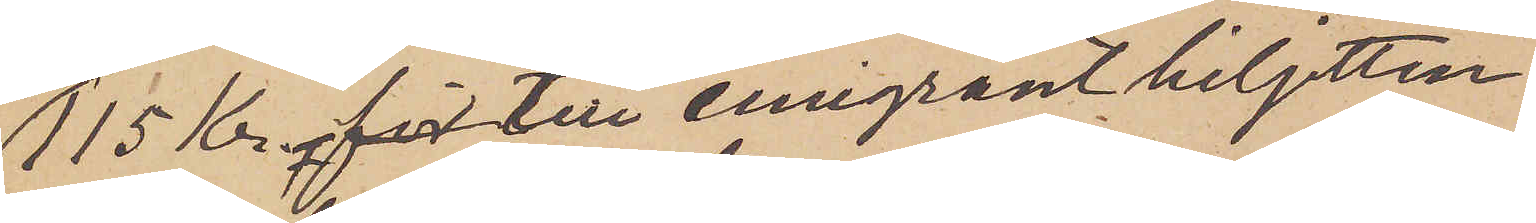115 kr för till emigrantbiljetten
